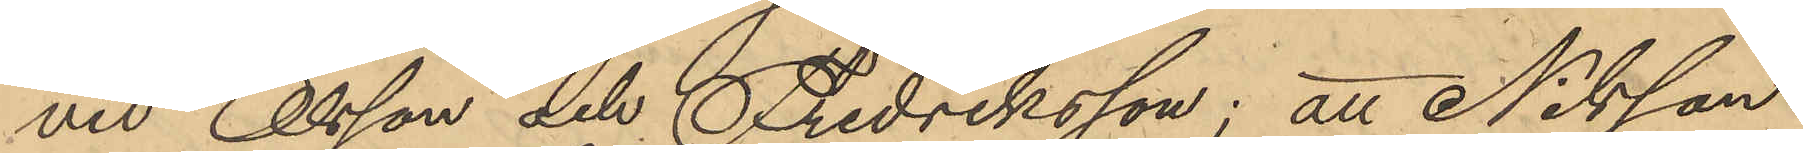vid Olsson och Fredriksson; att Nilsson
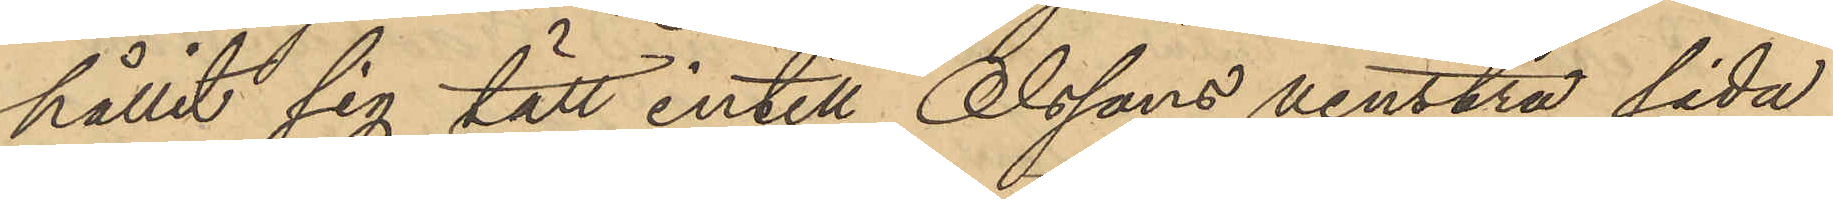hållit sig tätt intill Olssons venstra sida
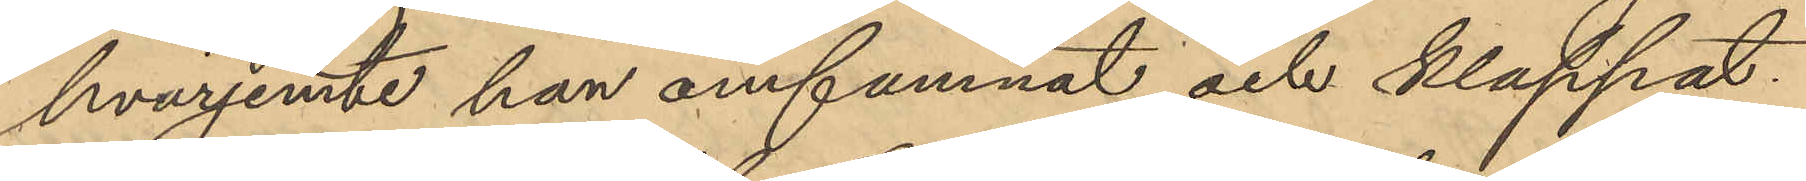hvarjemte han omfamnat och klappat
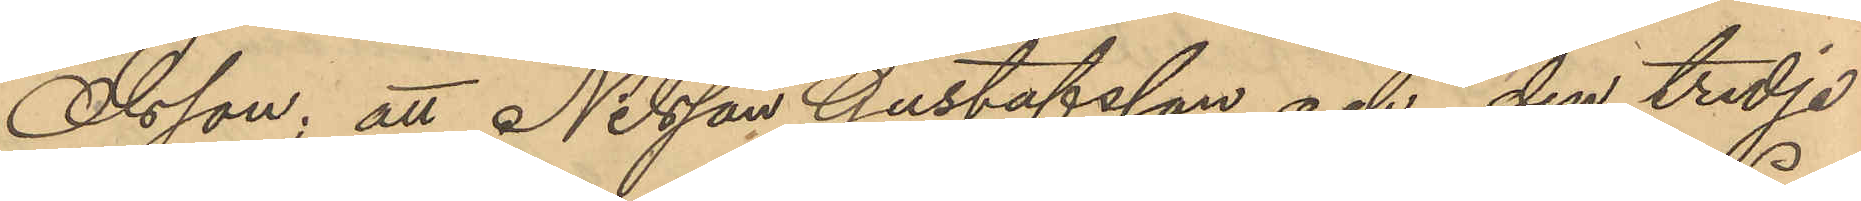Olsson; att Nilsson Gustafsson och den tredje
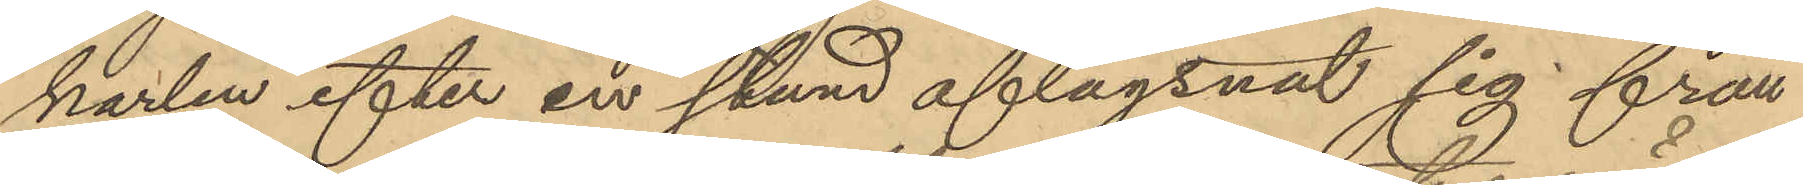karlen efter en stund aflägsnat sig från
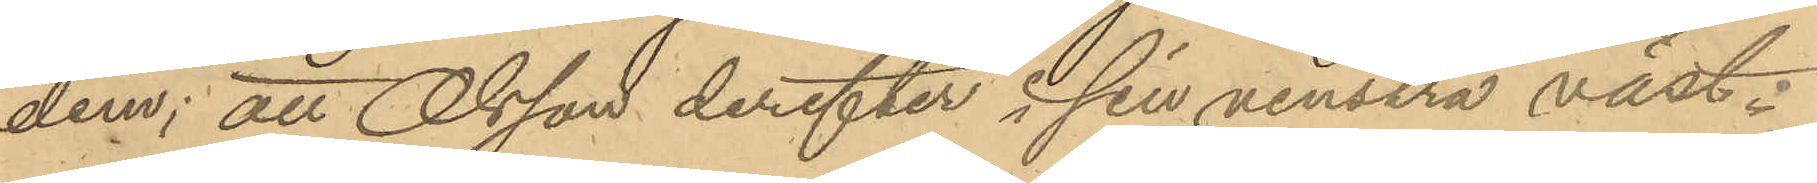dem; att Olsson derefter i sin venstra väst-
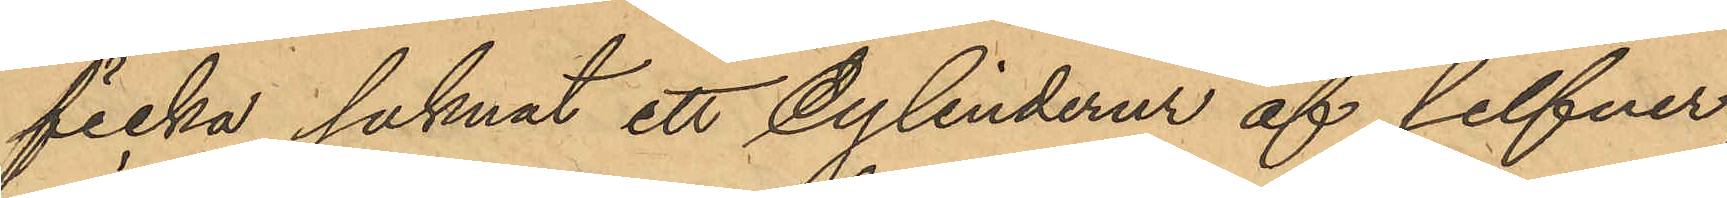ficka saknat ett cylinderur af silfver
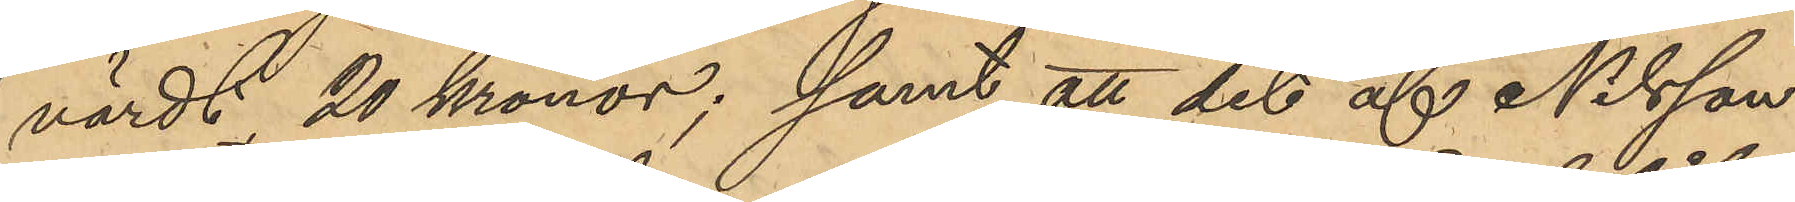värdt 20 Kronor; samt att det af Nilsson
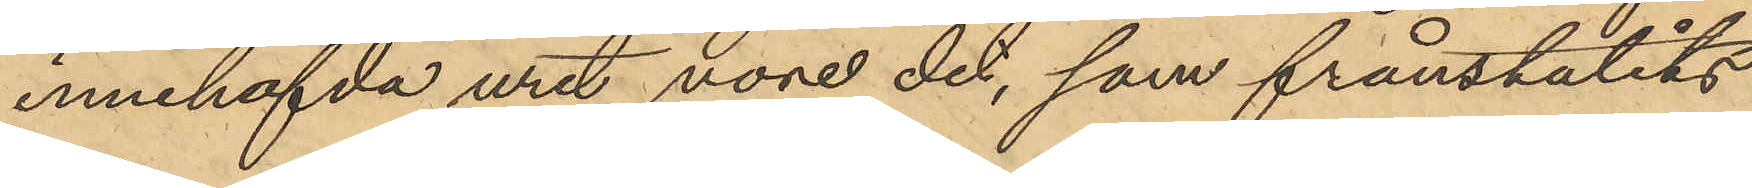innehafvda uret vore det, som frånstulits
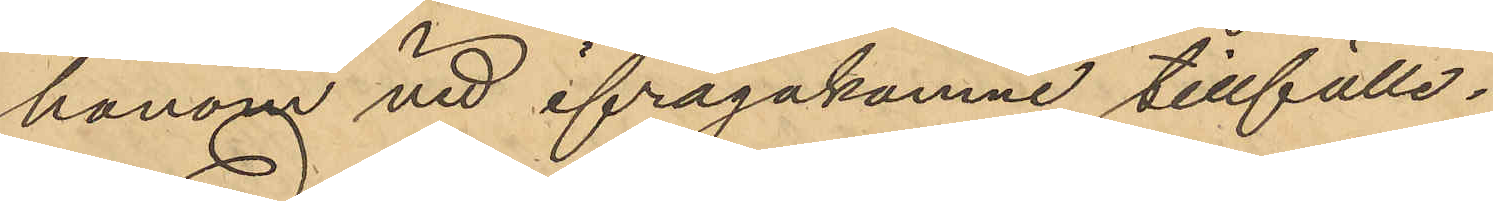honom vid ifrågakomne tillfälle
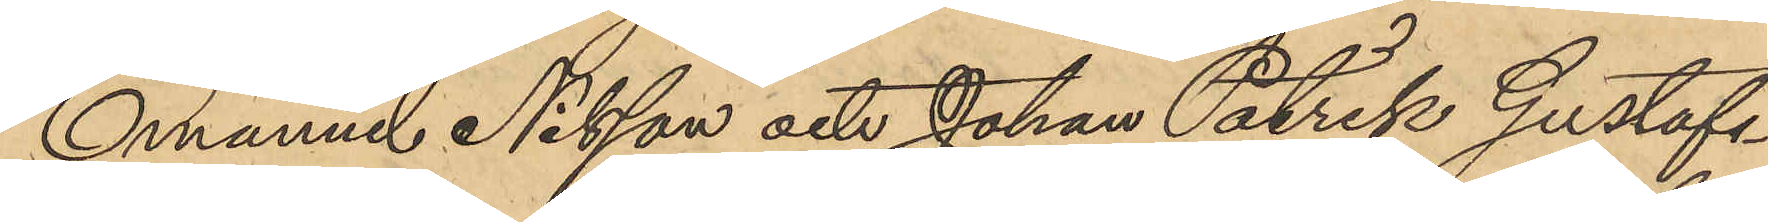Emanuel Nilsson och Johan Patrik Gustafs¬
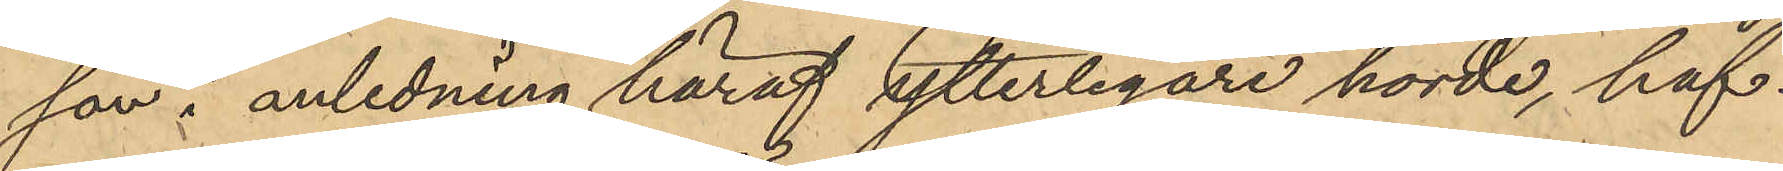son i anledning häraf ytterligare hörde, haf¬
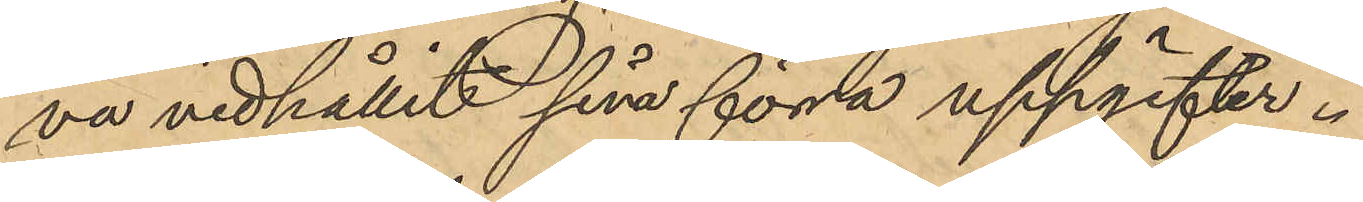va vidhållit sina förra uppgifter.
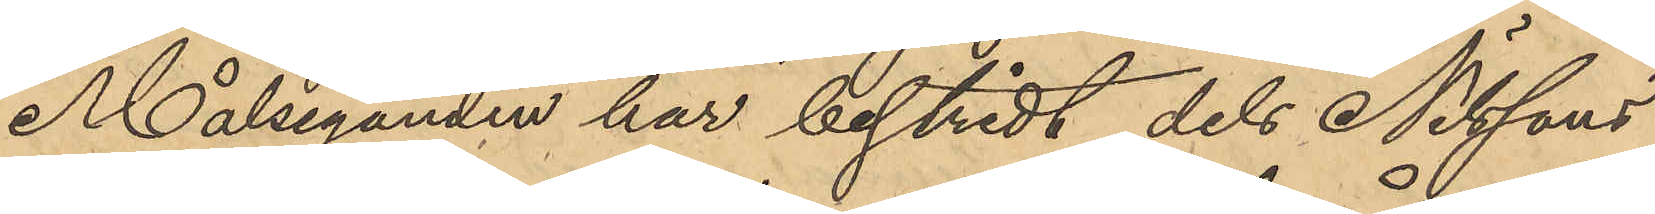Målseganden har bestridt dels Nilssons
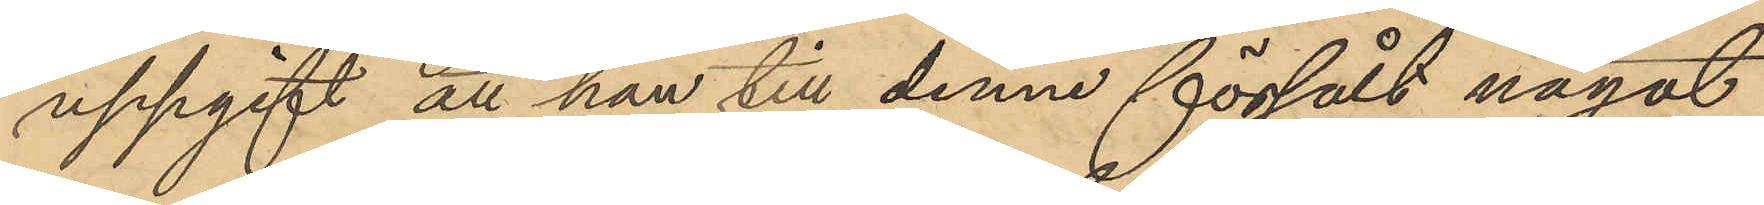uppgift att han till denne försålt något
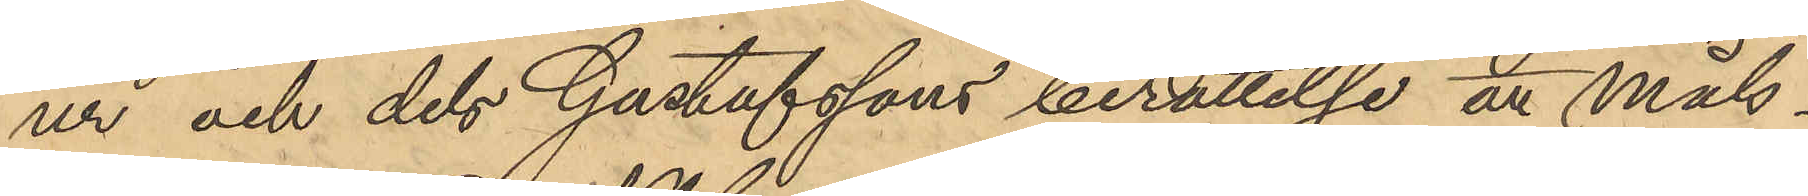ur och dels Gustafssons berättelse att Måls¬
